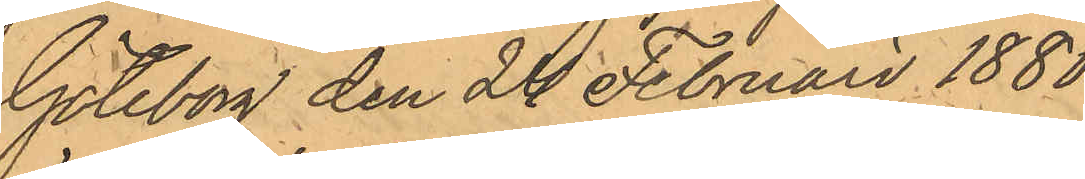Göteborg den 24 Februari 1880.
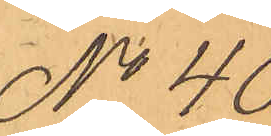No 40.
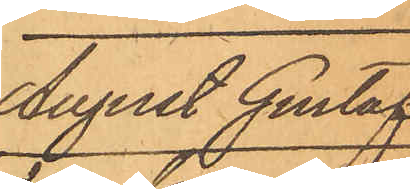August Gustaf
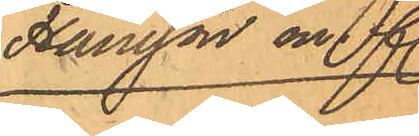Hansson m. fl.
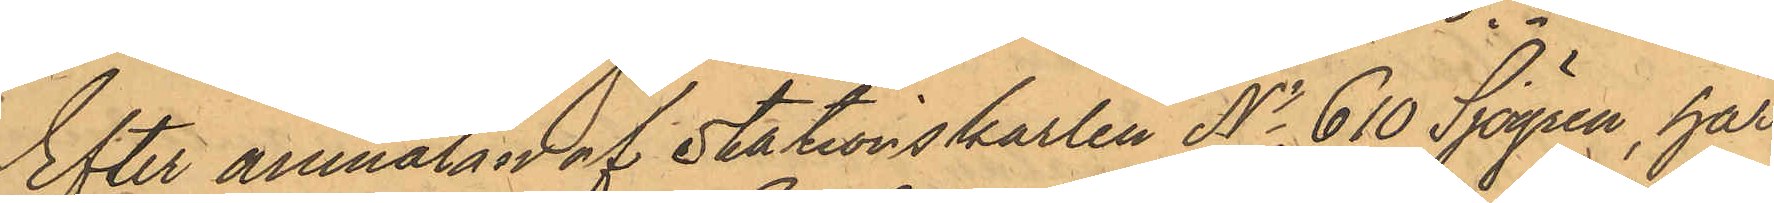Efter anmälan af Stationskarlen No 610 Sjögren, har
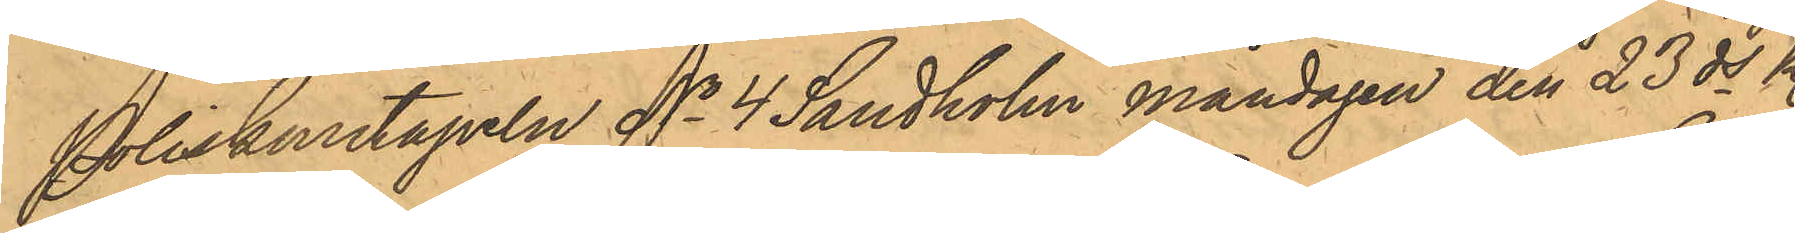Poliskonstapeln No 610 Sandholm måndagen den 23 ds kl.
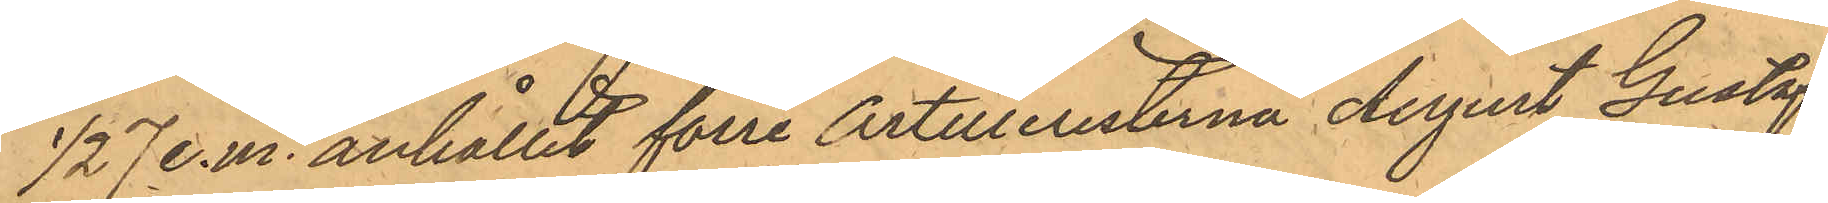1/2 7 e.m. anhållit förre Artilleristen August Gustaf
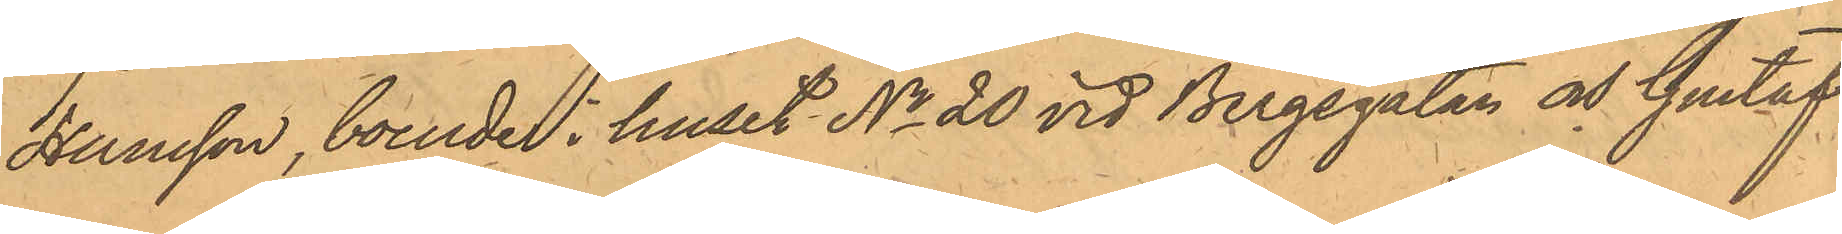Hansson, boende i huset No 20 vid Bergsgatan och Gustaf
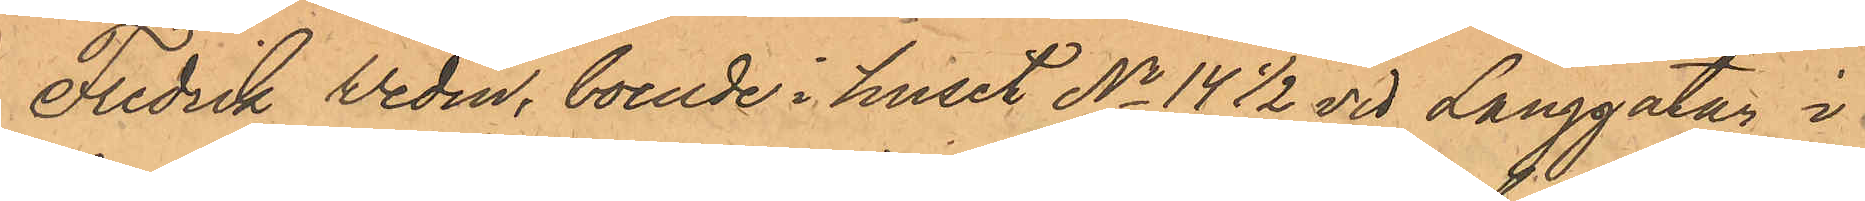Fredrik Wedin, boende i huset No 14 1/2 vid Långgatan i
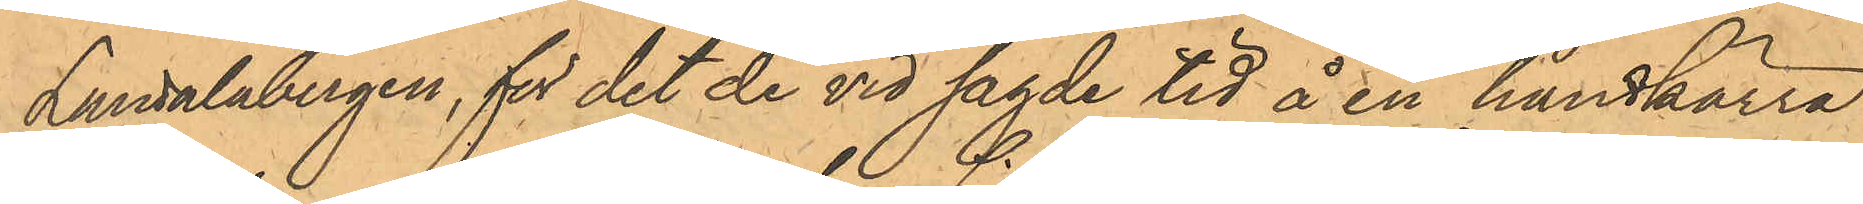Landalabergen, för det de vid sagde tid å en handkärra
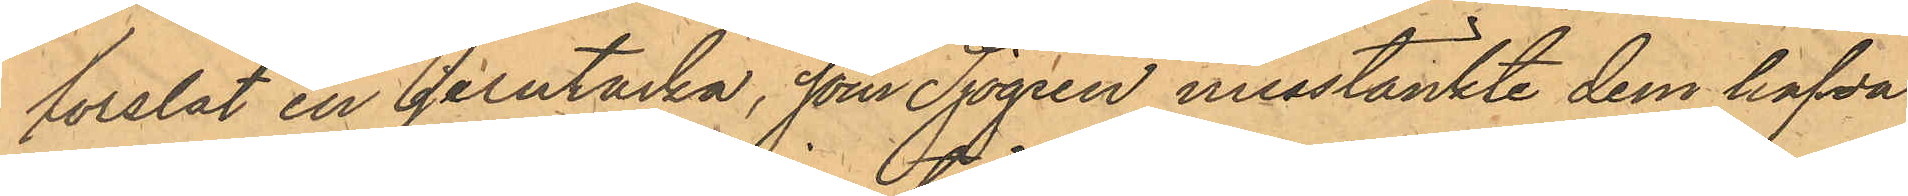forslat en jerntacka, som Sjögren misstänkte dem hafva 
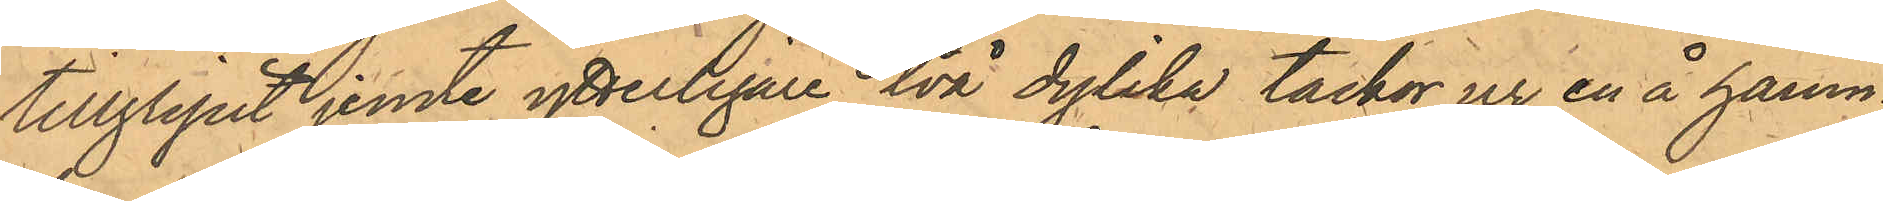tillgripit jemte ytterligare två dylika tackor ur en å hamn¬
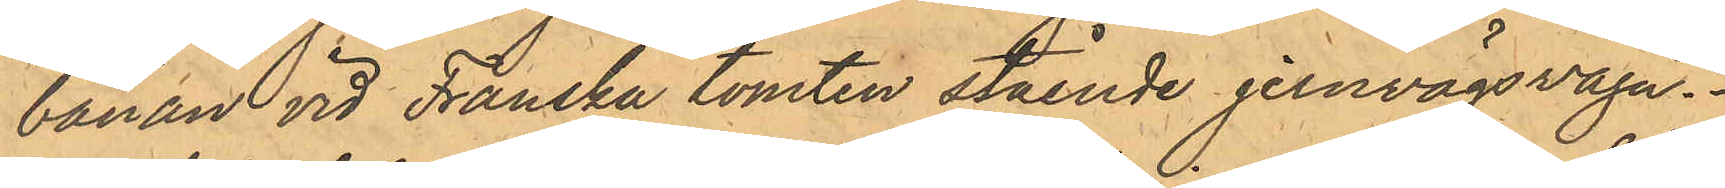banan vid Franska tomten stående jernvägsvagn.
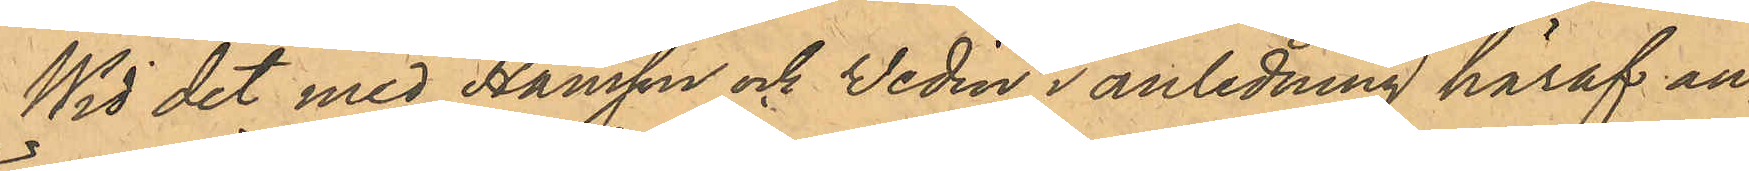Wid det med Hansson och Wedin i anledning häraf an¬
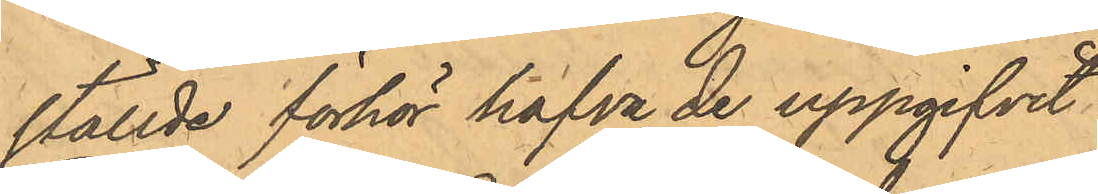ställde förhör hafva de uppgifvit
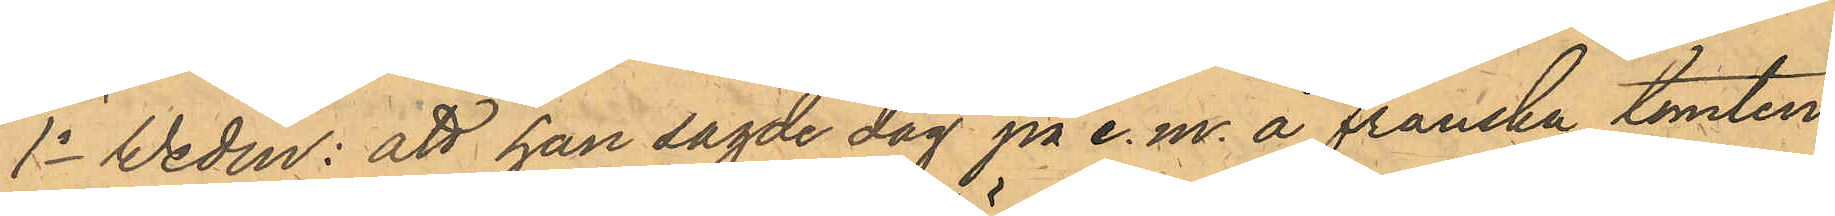1o Wedin: att han sagde dag på e. m. å Franska tomten
